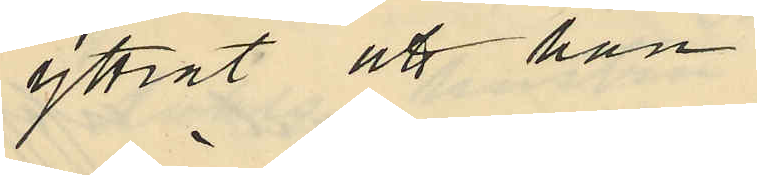yttrat att han
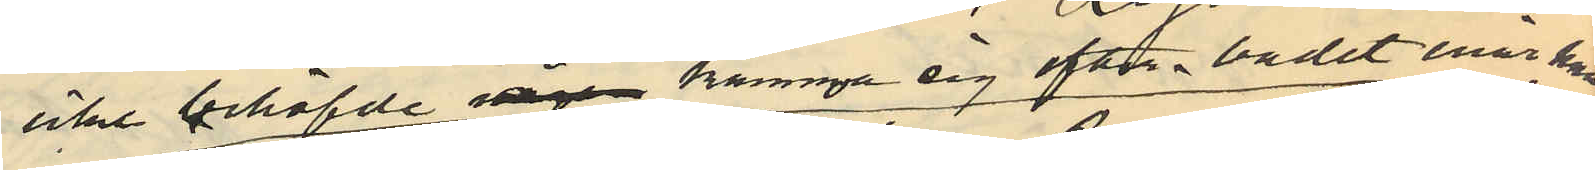icke behöfvde någon kamma sig efter badet enär han
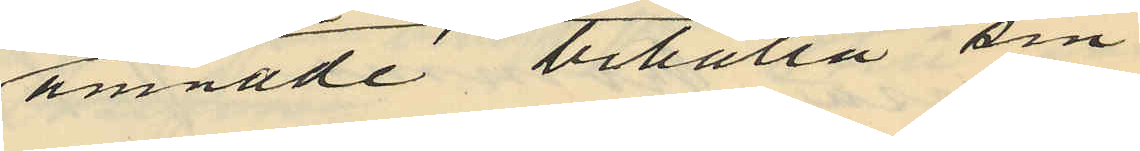ämnade behålla sin
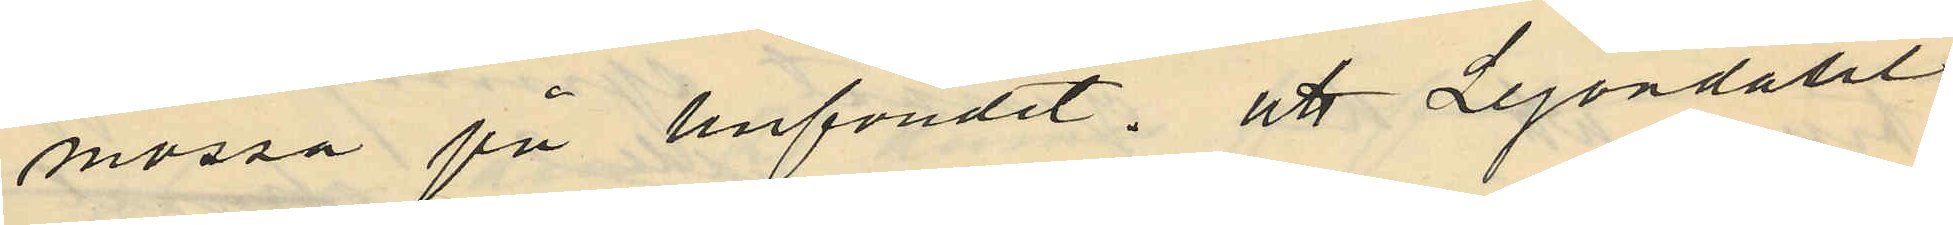mössa på hufvudet, att Lejondahl
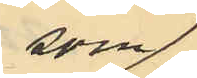som
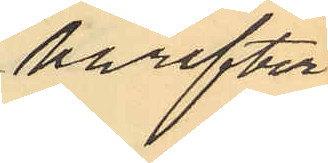härefter
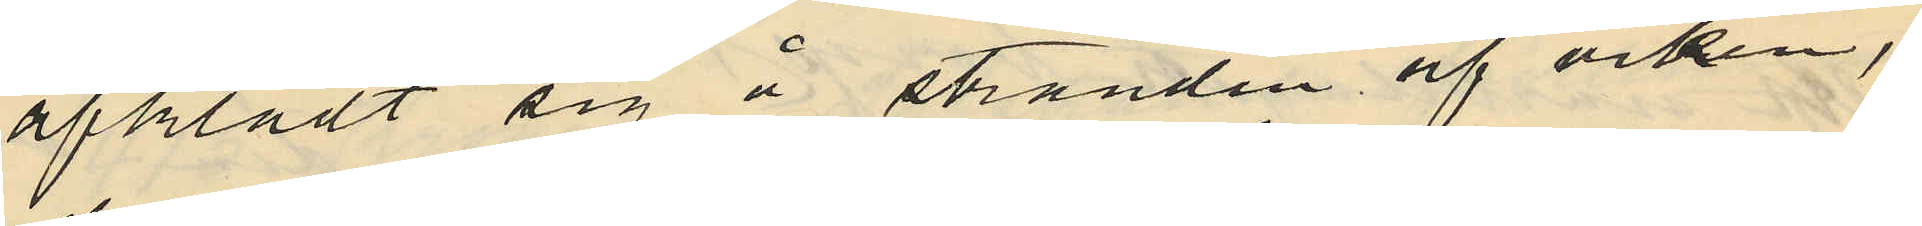afklädt sig å stranden af viken,
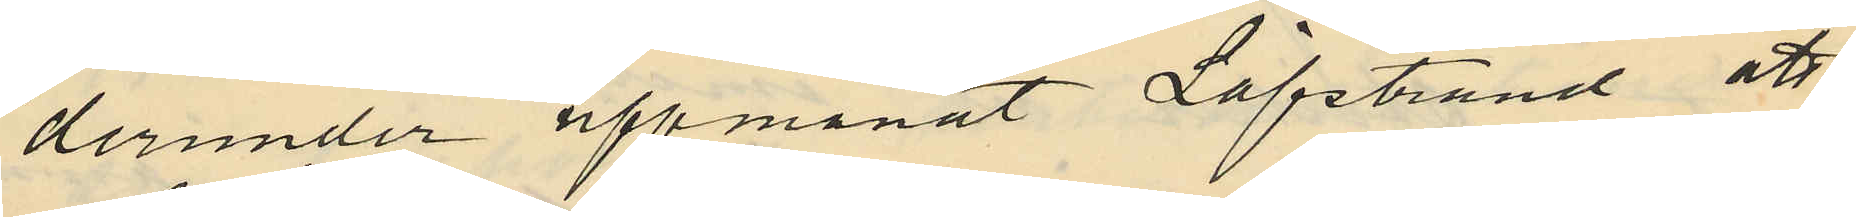derunder uppmanat Löfstrand att
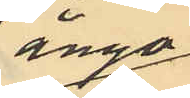ånyo
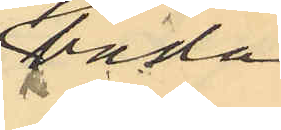bada
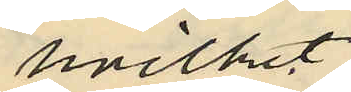hvilket
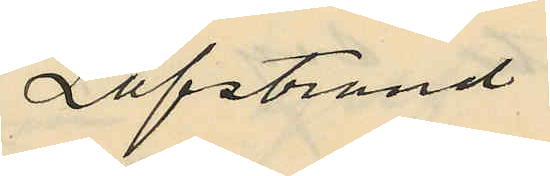Löfstrand
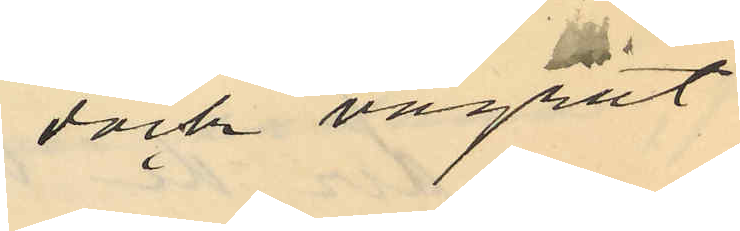dock vägrat
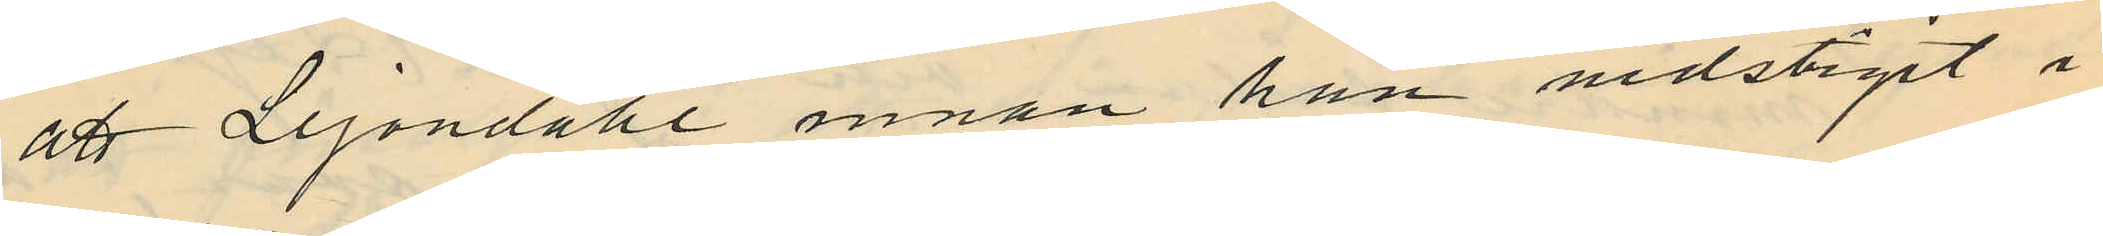att Lejondahl innan han nedstigit i
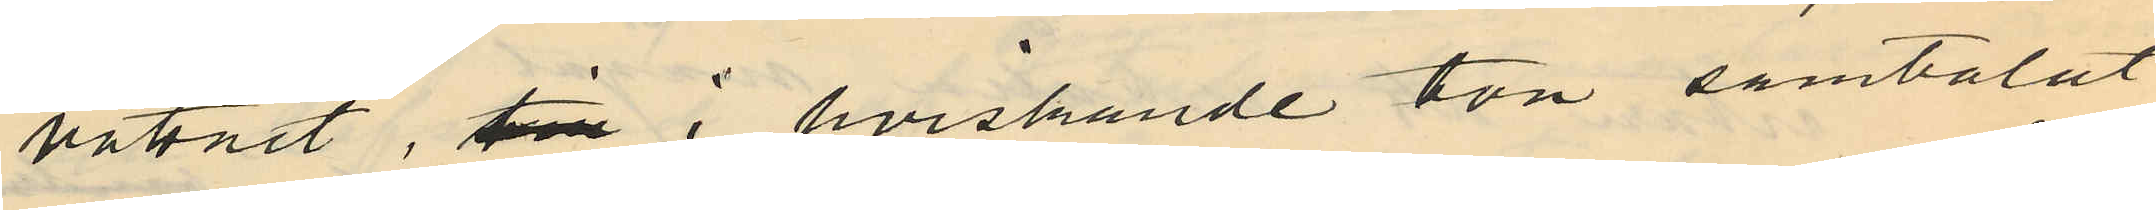vattnet, till i hviskande ton samtalat
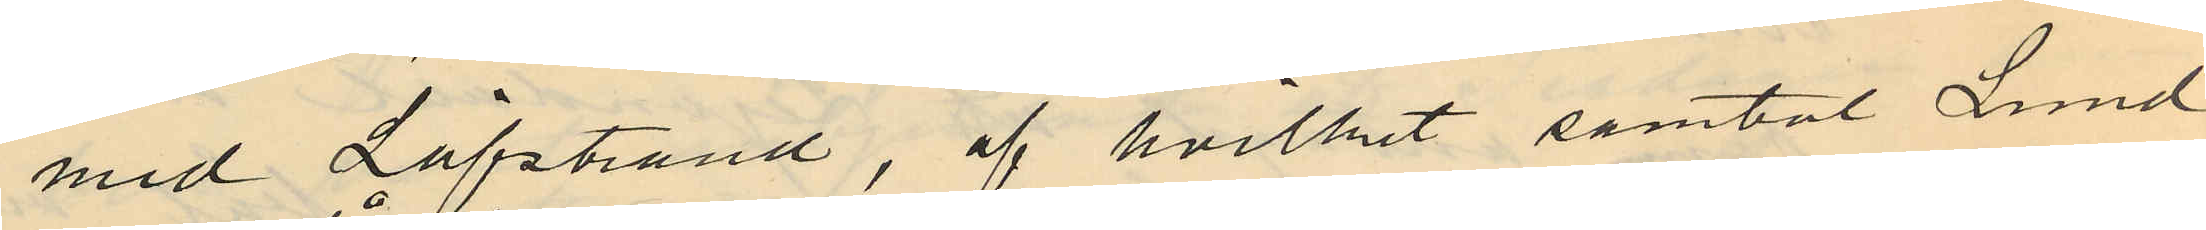med Löfstrand, af hvilket samtal Lund¬
